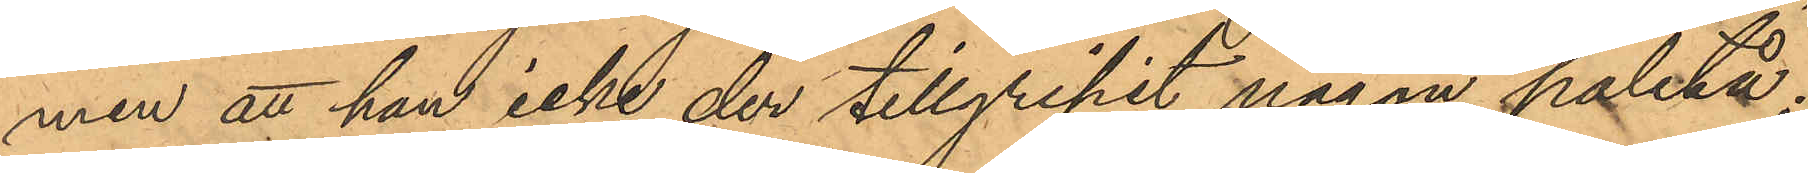men att han icke der tillgripit någon paletå;
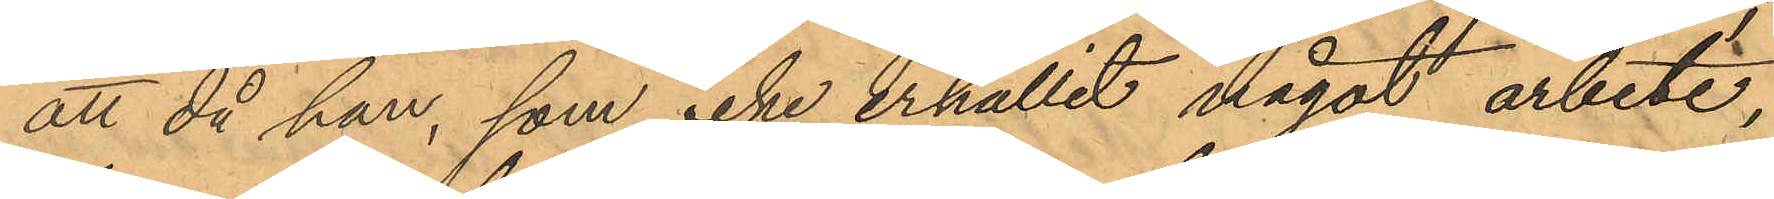att då han, som icke erhållit något arbete,
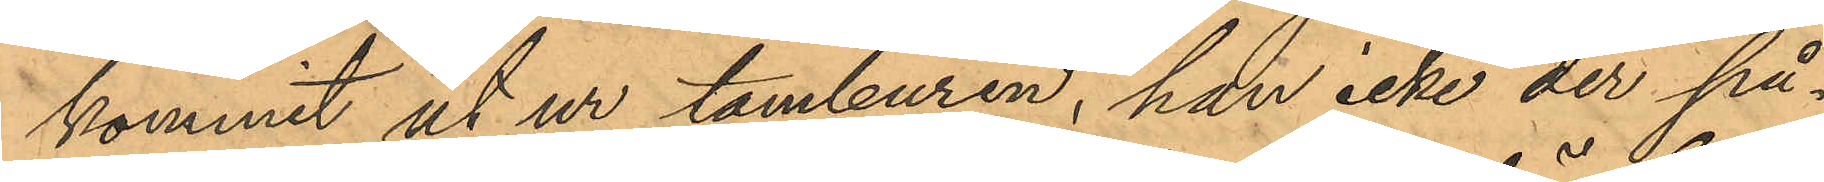kommit ut ur tamburen, han icke der på¬
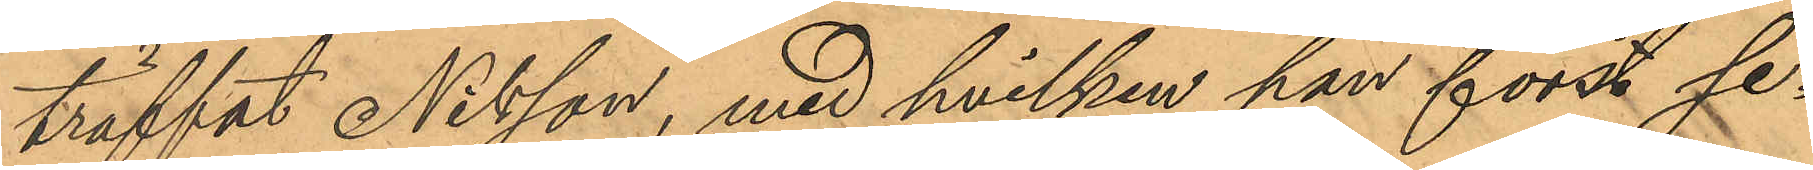träffat Nilsson, med hvilken han först se¬
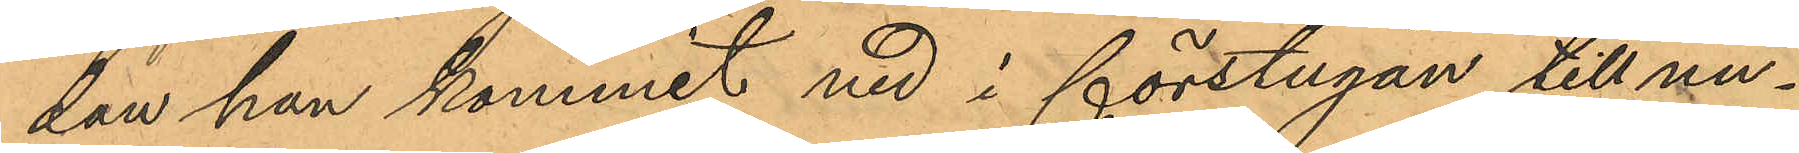dan han kommit ned i förstugan till un¬
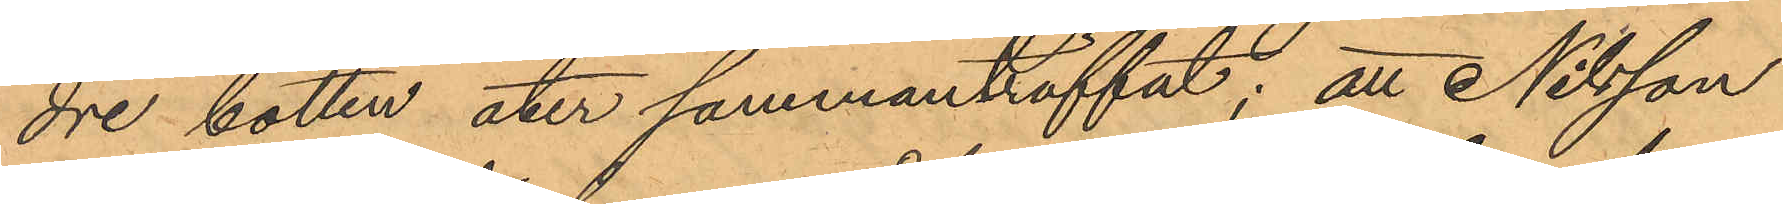dre botten åter sammanträffat; att Nilsson
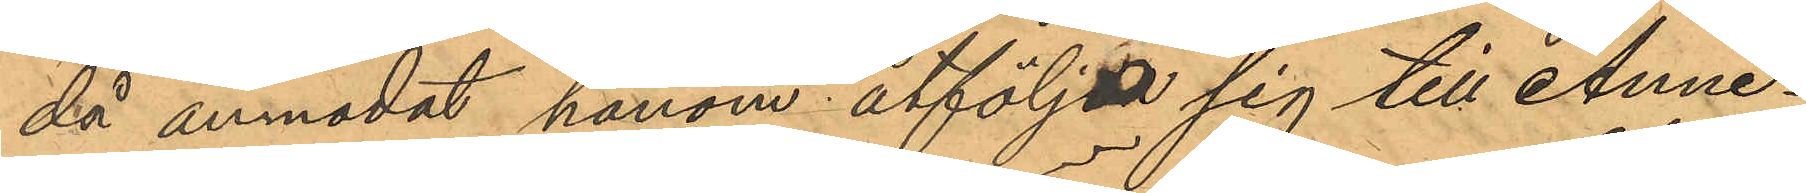då anmodat honom åtföljde sig till Anne¬
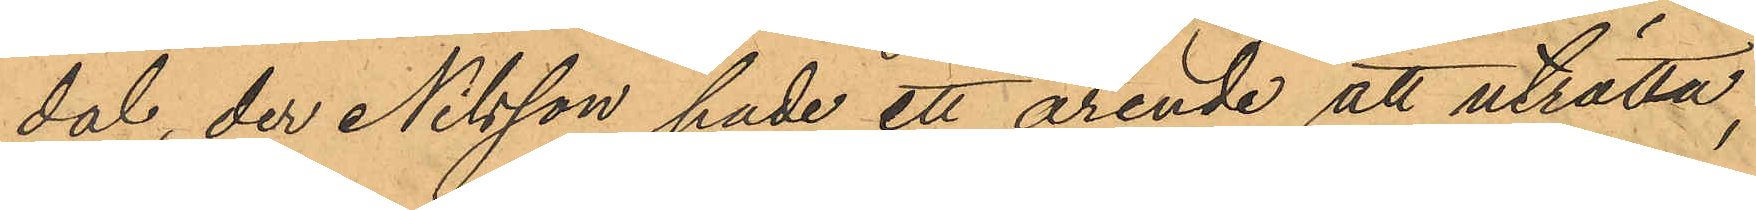dal, der Nilsson hade ett ärende att uträtta,
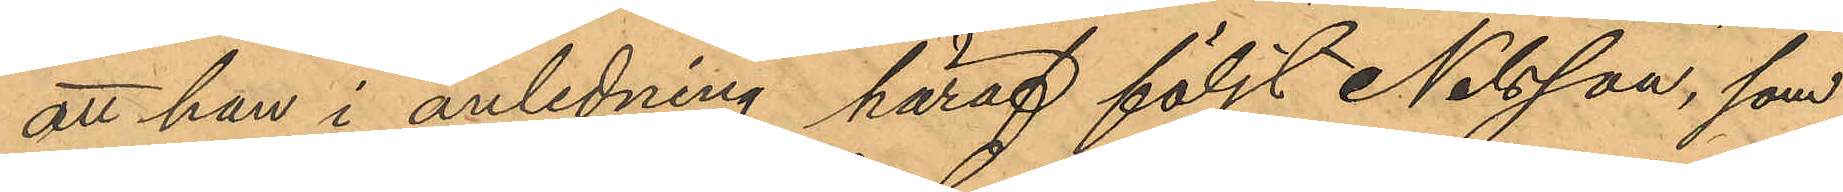att han i anledning häraf följt Nilsson, som
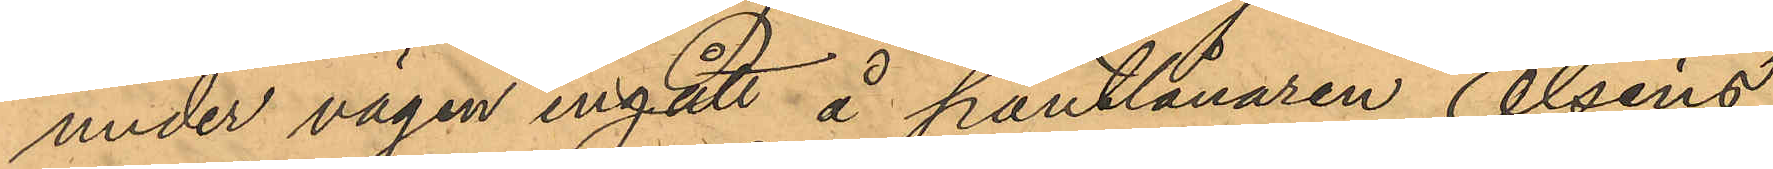under vägen ingått å pantlånaren Olséns
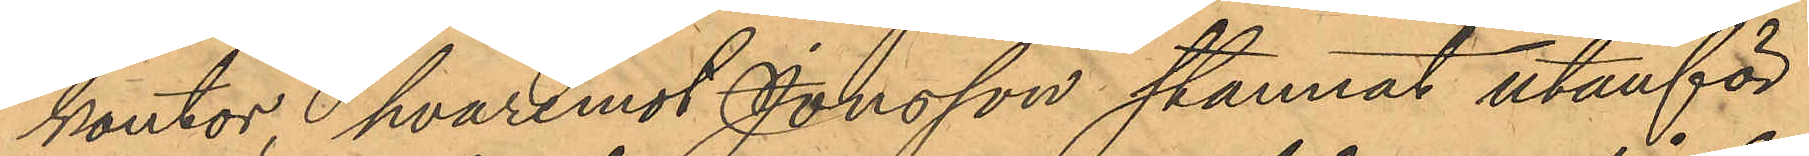kontor, hvaremot Jonsson stannat utanför
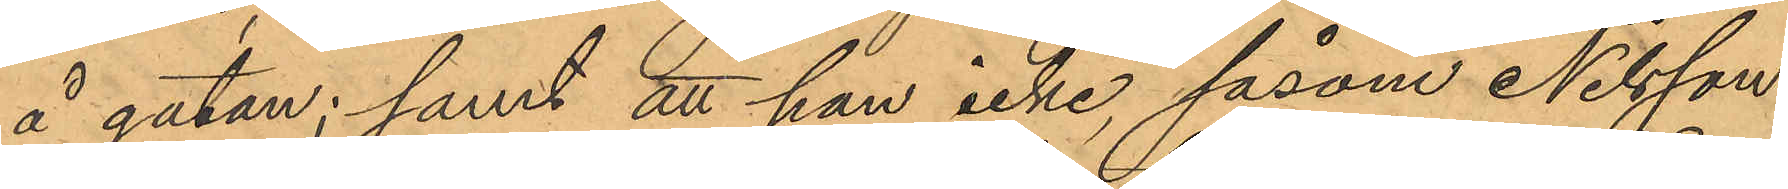å gatan; samt att han icke, såsom Nilsson
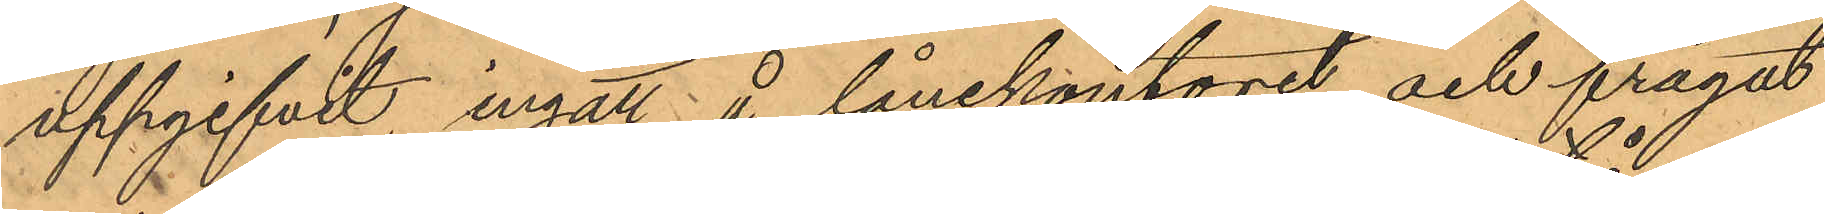uppgifvit, ingått å lånekontoret och frågat
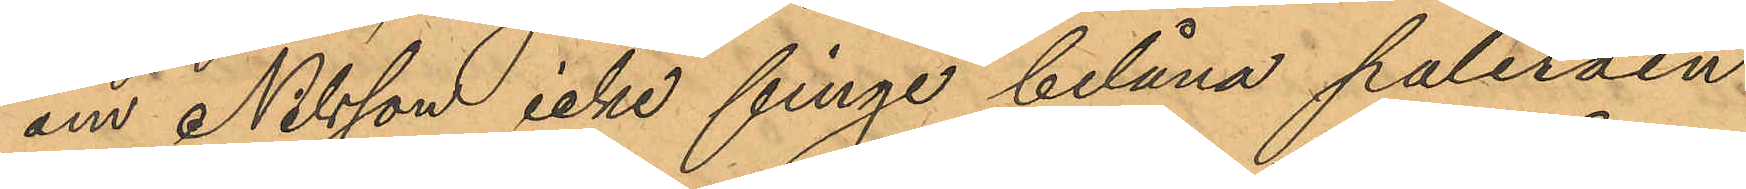om Nilsson icke finge belåna paletåen
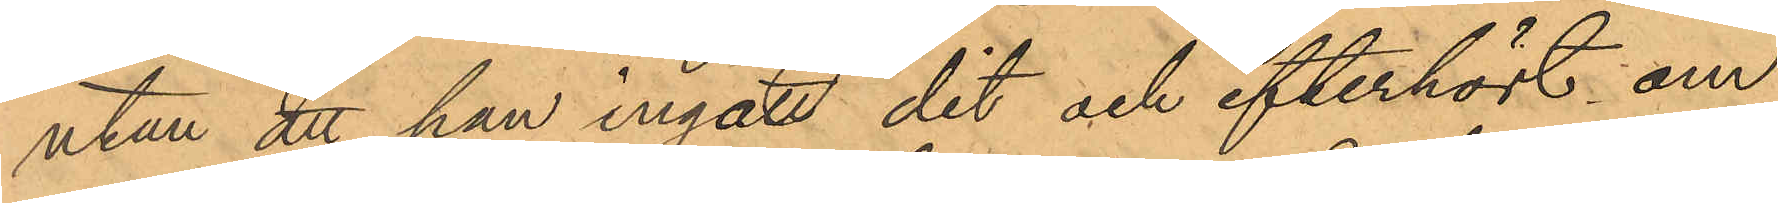utan att han ingatt dit och efterhört om
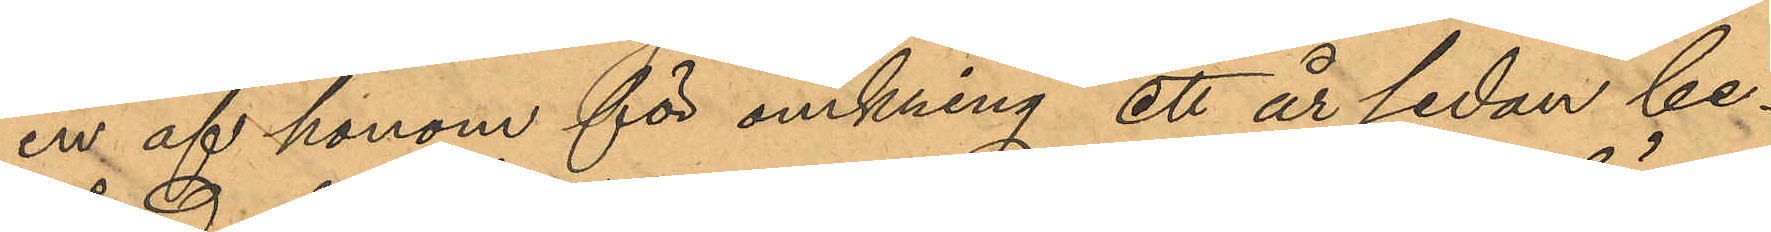en af honom för omkring ett år sedan be¬
